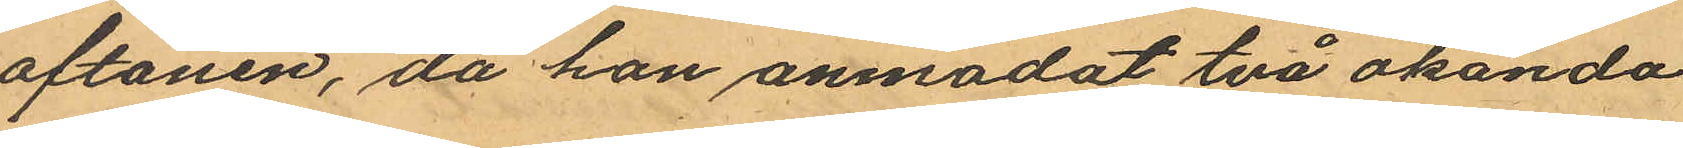aftonen, då han anmodat två okända
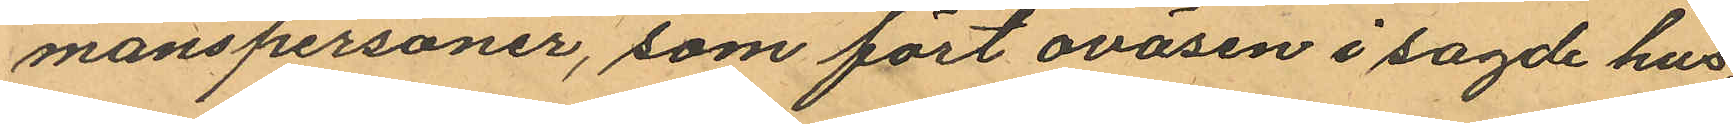manspersoner, som fört oväsen i sagde hus
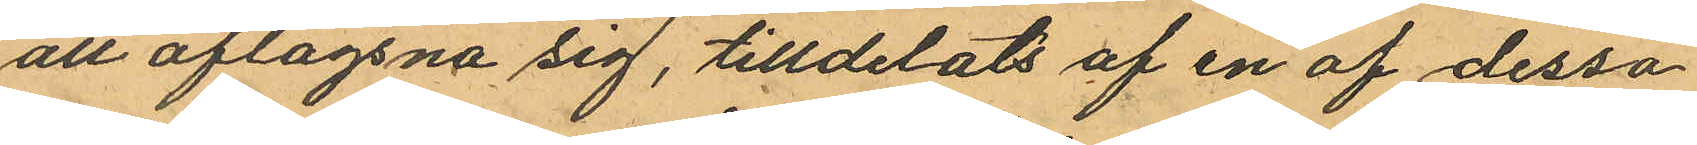att aflägsna sig, tilldelats af en af dessa
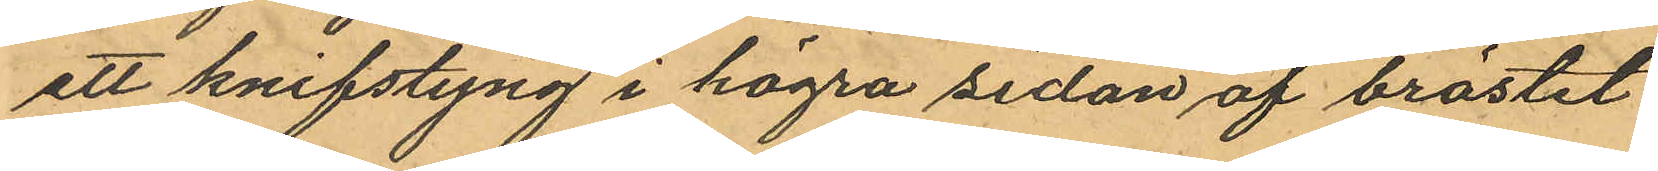ett knifstyng i högra sidan af bröstet
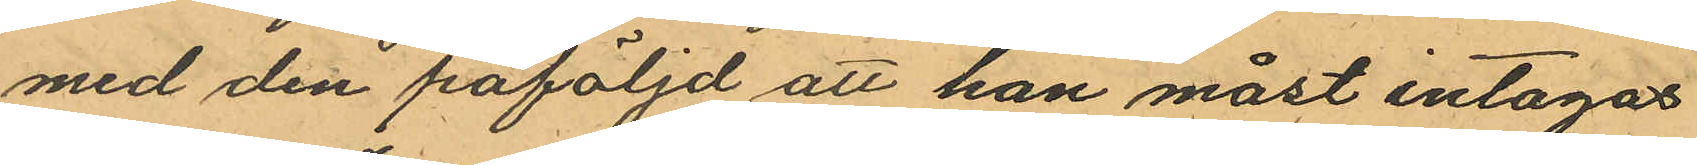med den påföljd att han måst intagas
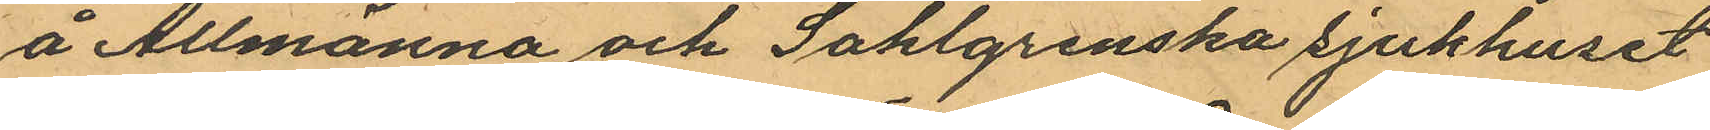å Allmänna och Sahlgrenska sjukhuset
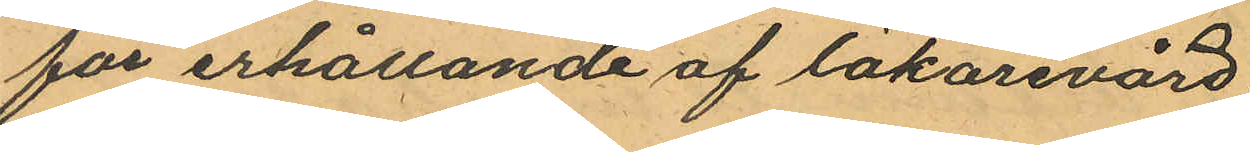för erhållande af läkarevård.
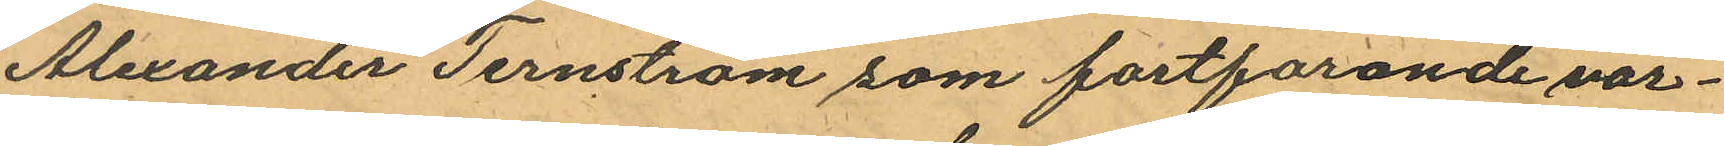Alexander Ternström som fortfarande vår¬
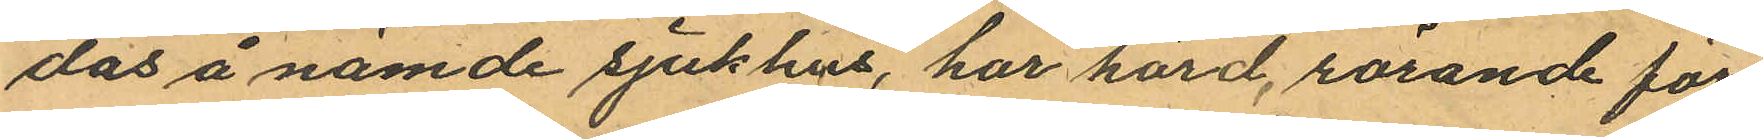das å nämde sjukhus, har hörd, rörande för¬
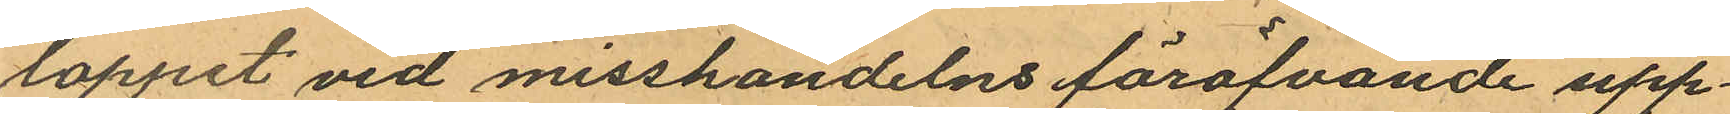loppet vid misshandelns föröfvande upp¬
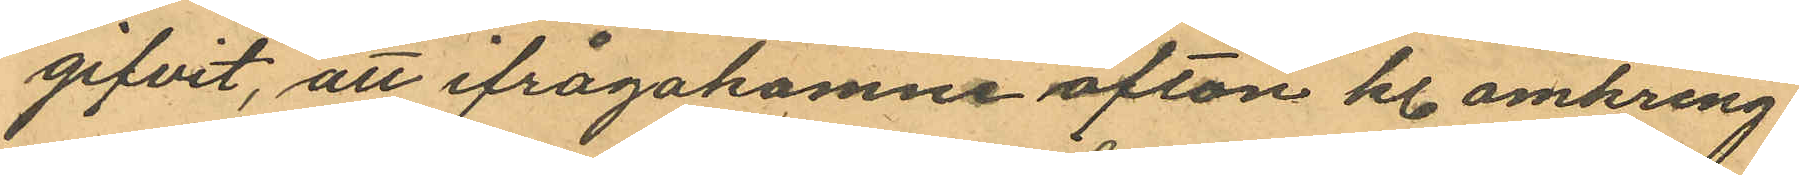gifvit, att ifrågakomne afton kl. omkring
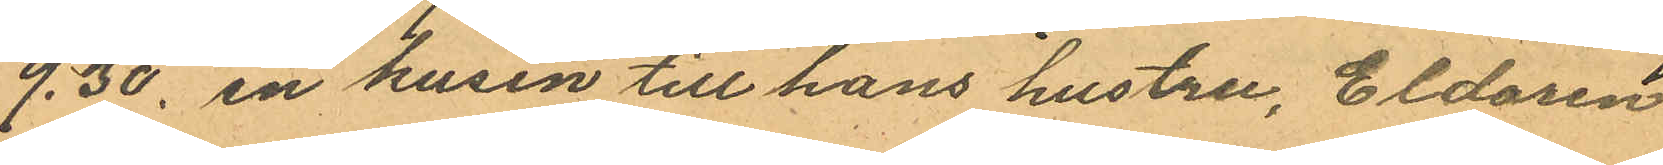9.30, en kusin till hans hustru, Eldaren
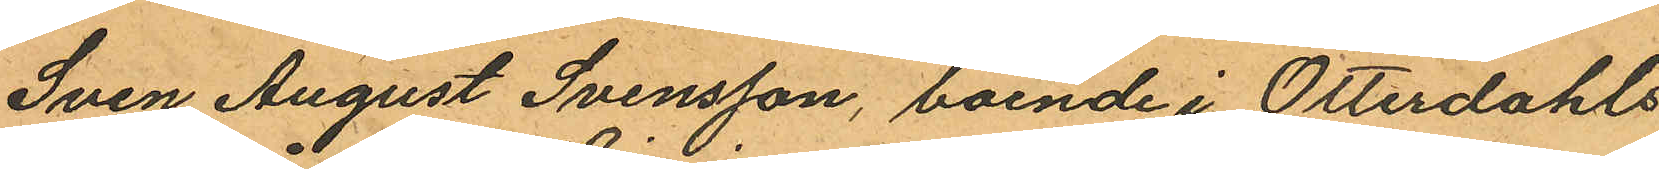Sven August Svensson, boende i Otterdahls
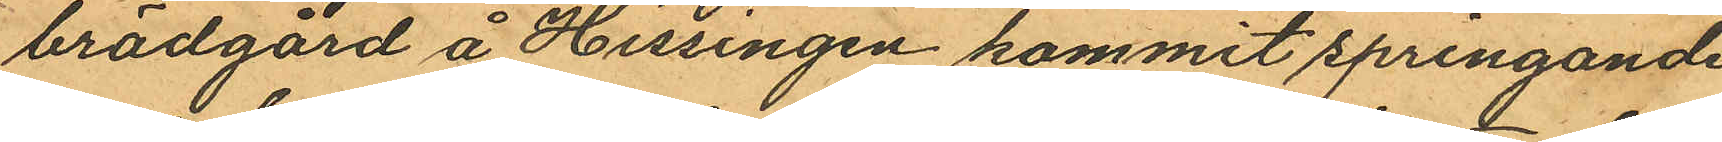brädgård å Hissingen kommit springande
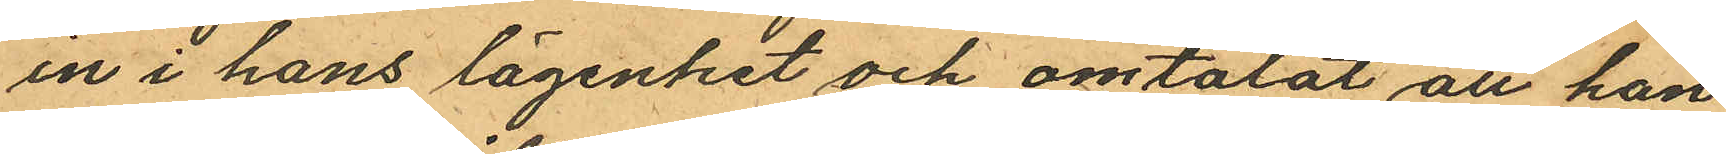in i hans lägenhet och omtalat att han
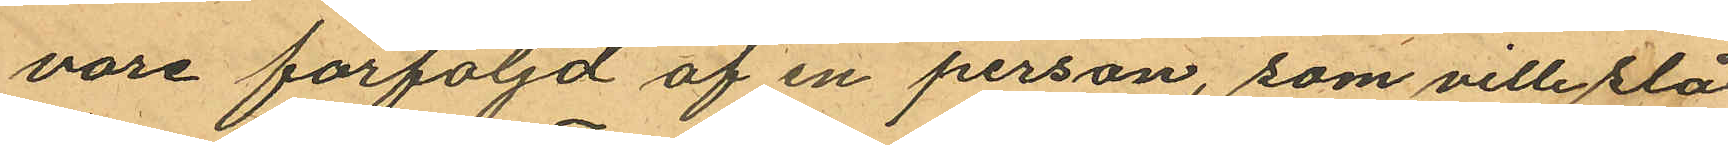vore förföljd af en person, som ville slå
